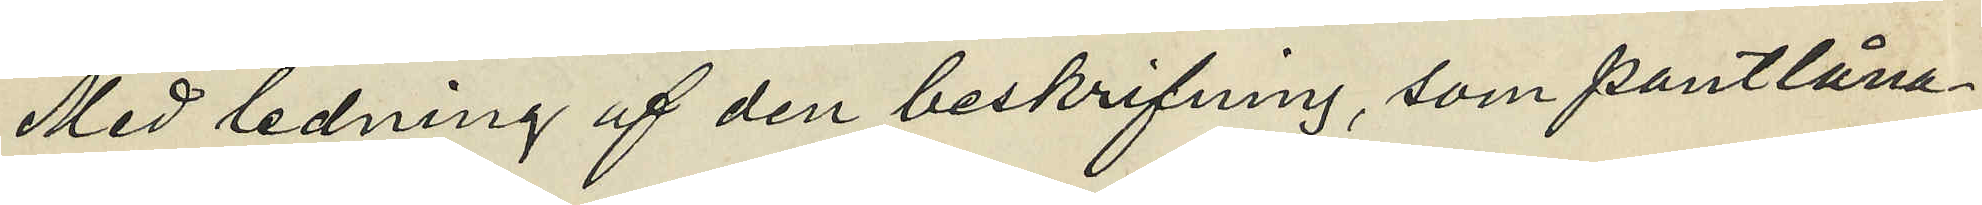Med ledning af den beskrifning, som pantlåna¬
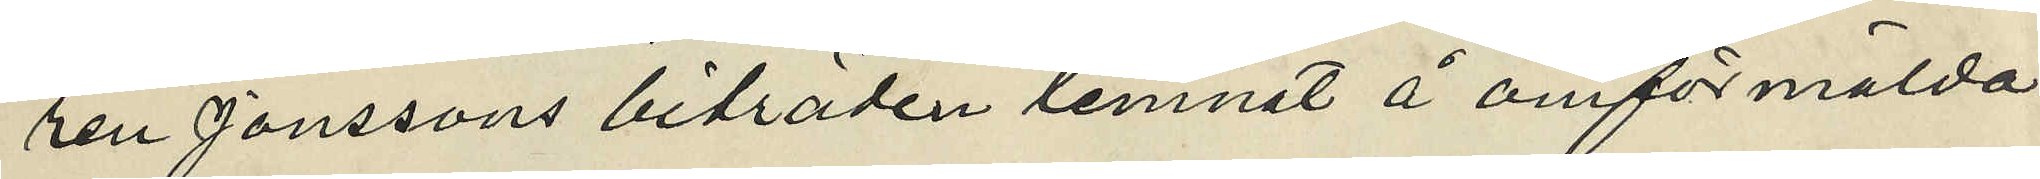ren Jonssons biträden lemnat å omförmälda
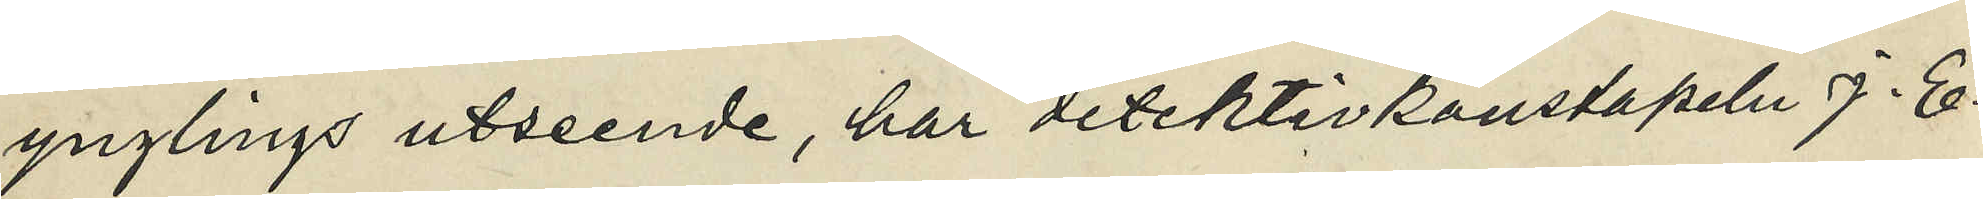ynglings utseende, har detektivkonstapeln J. E.
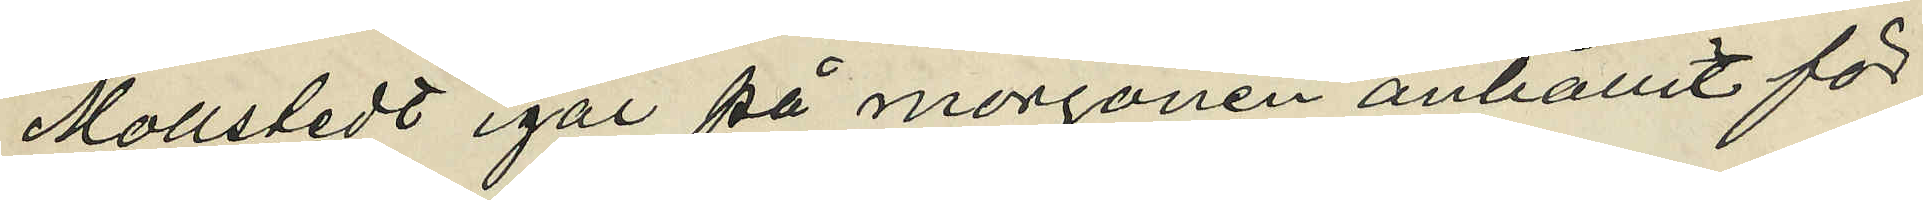Mollstedt igår på morgonen anhållit för
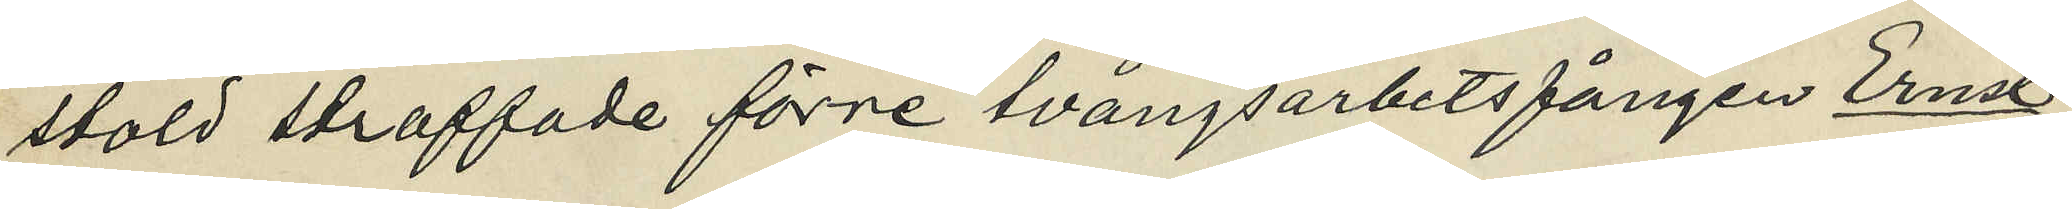stöld straffade förre tvångsarbetsfången Ernst
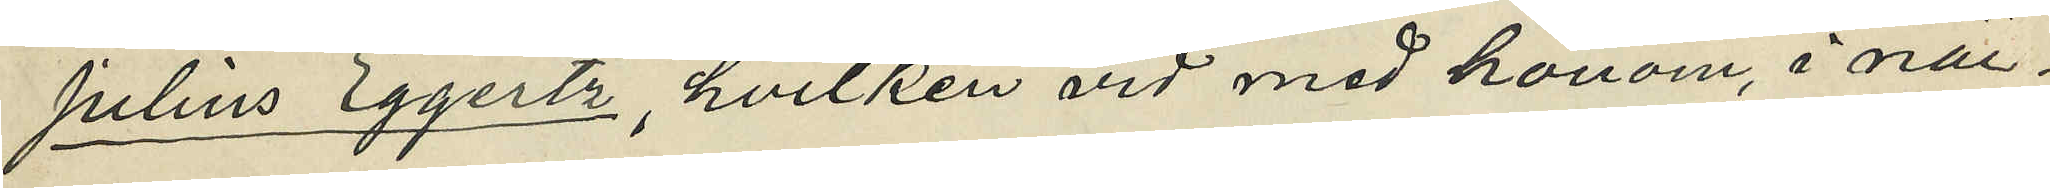Julius Eggertz, hvilken vid med honom, i när¬
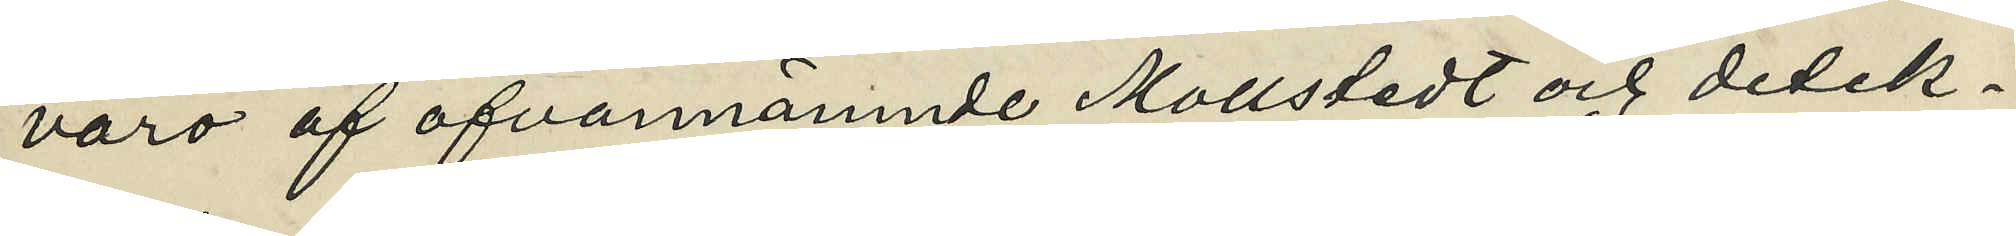varo af ofvannämnde Mollstedt och detek¬
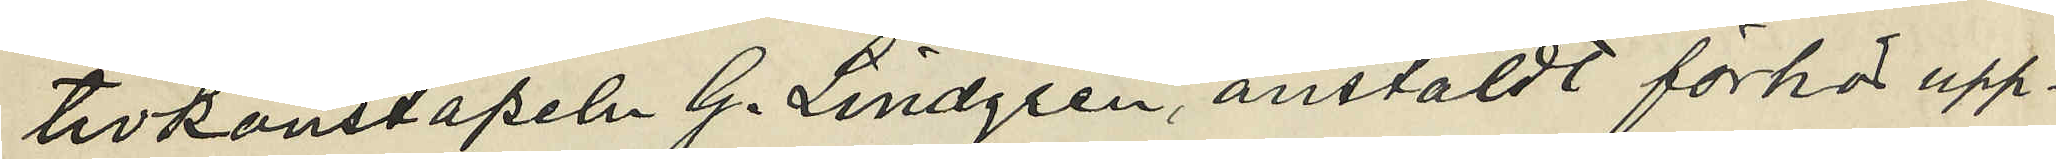tivkonstapeln G. Lindgren, anstäldt förhör upp¬
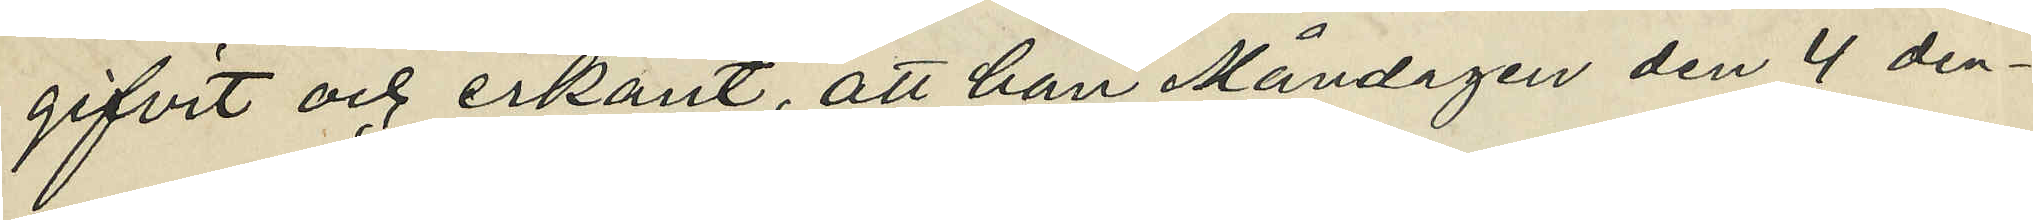gifvit och erkänt, att han Måndagen den 4 den¬
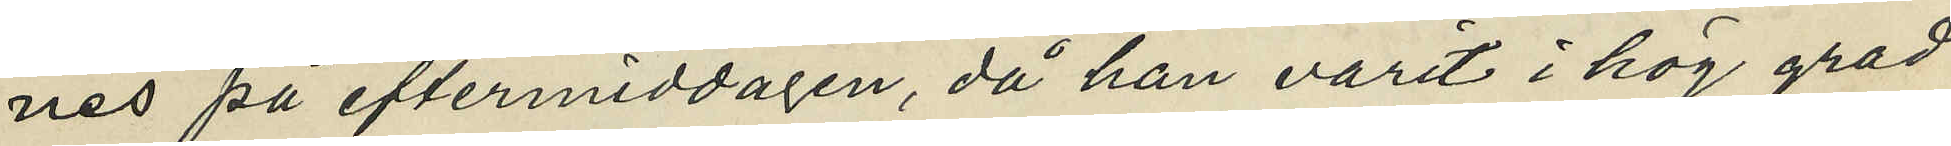nes på eftermiddagen, då han varit i hög grad
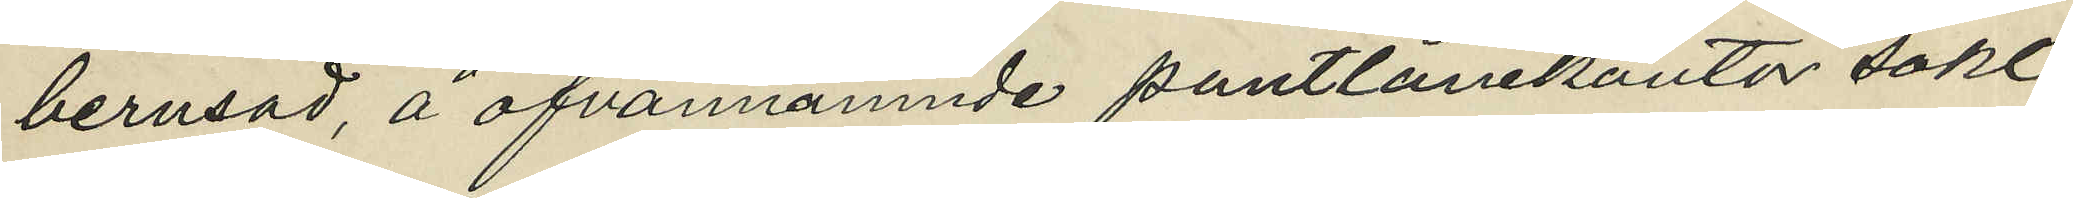berusad, å ofvannämnde pantlånekontor sökt
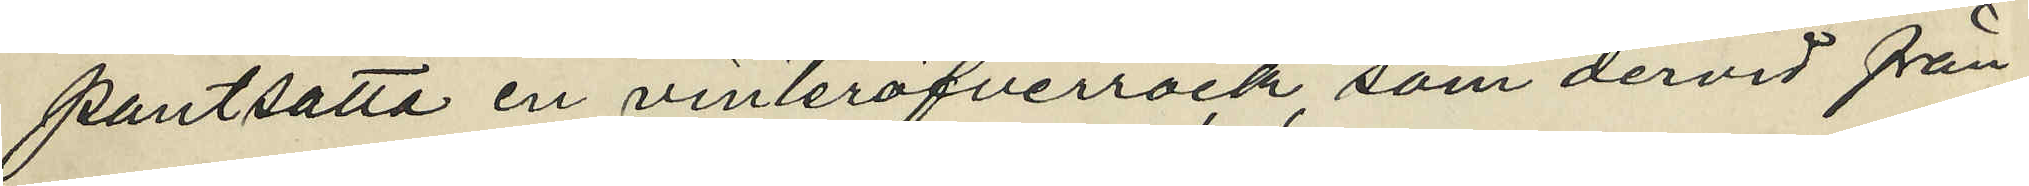pantsatta en vinteröfverrock som dervid från
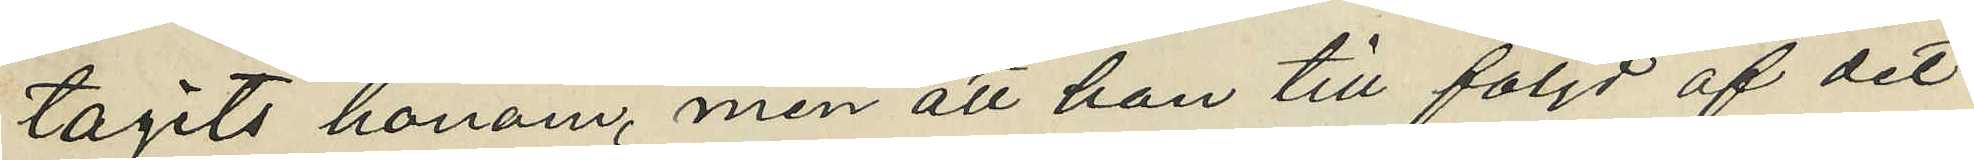tagits honom, men att han till följd af det
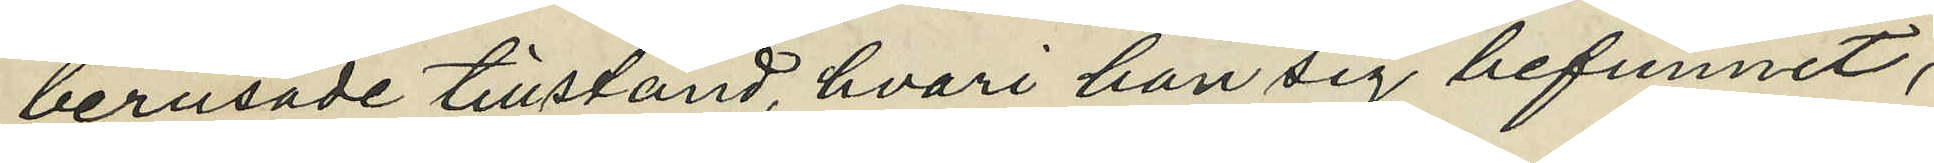berusade tillstånd, hvari han sig befunnit,
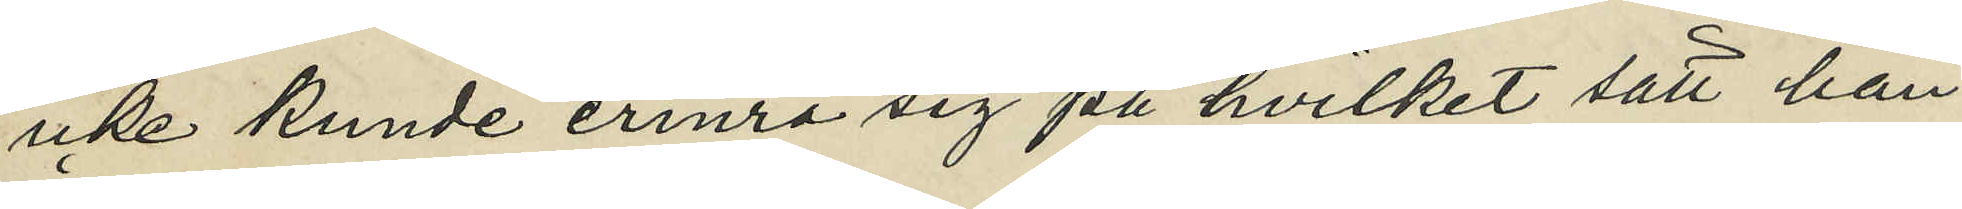icke kunde erinra sig på hvilket sätt han
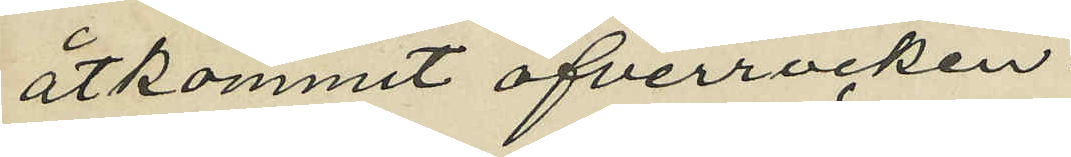åtkommit öfverrocken
